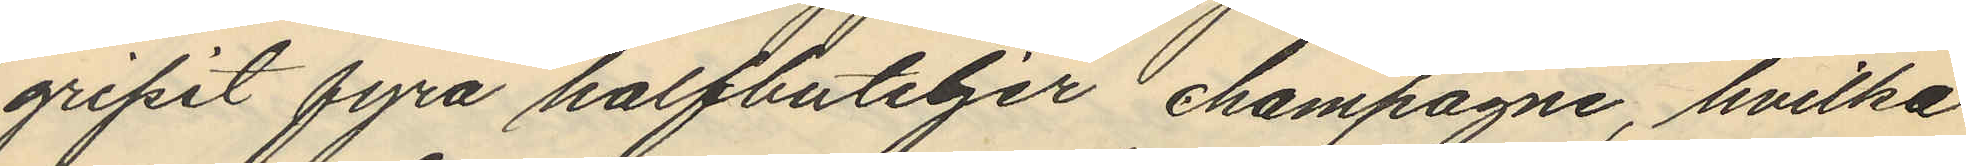gripit fyra halfbuteljer champagne, hvilka
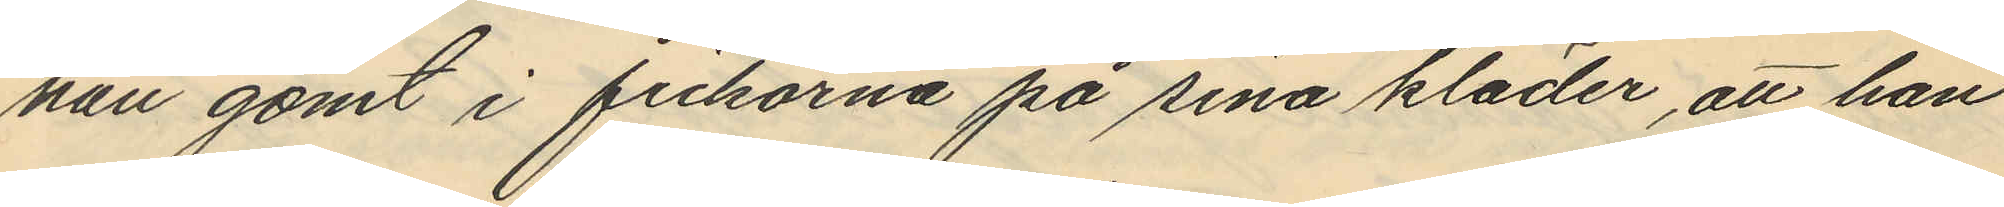han gömt i fickorna på sina kläder, att han
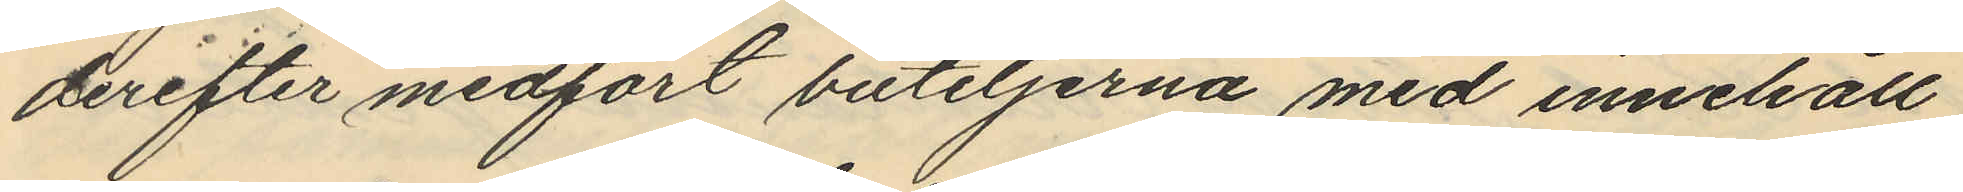derefter medfört buteljerna med innehåll
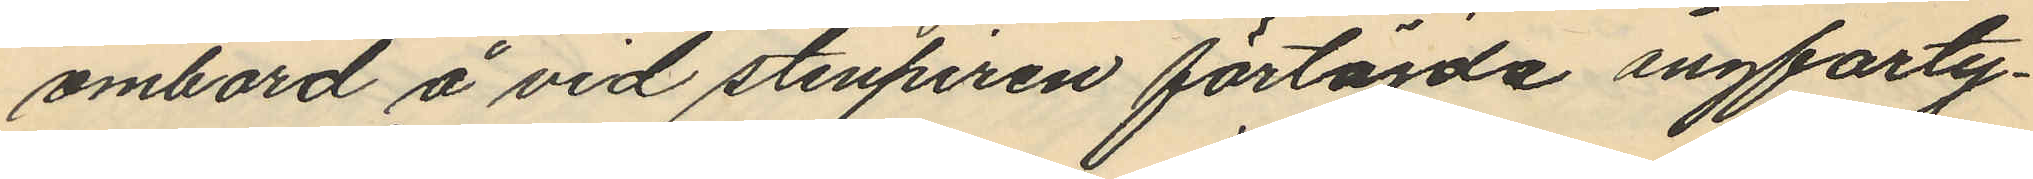ombord å vid stenpiren förtöjda ångfarty¬
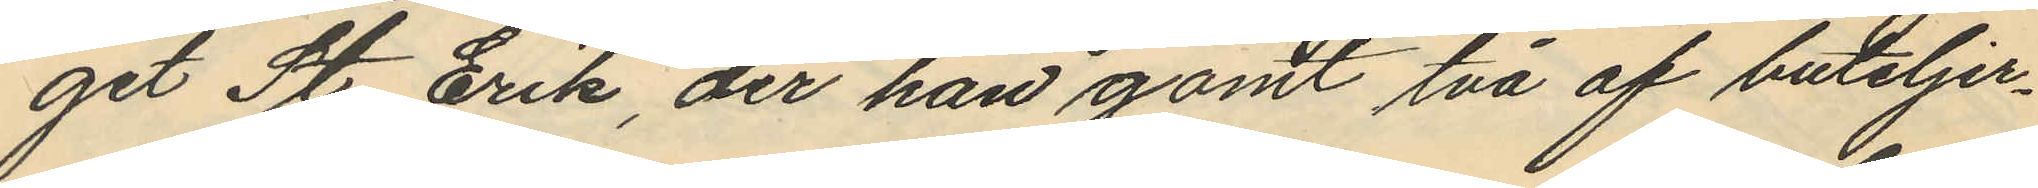get St Erik, der han gömt två af buteljer¬
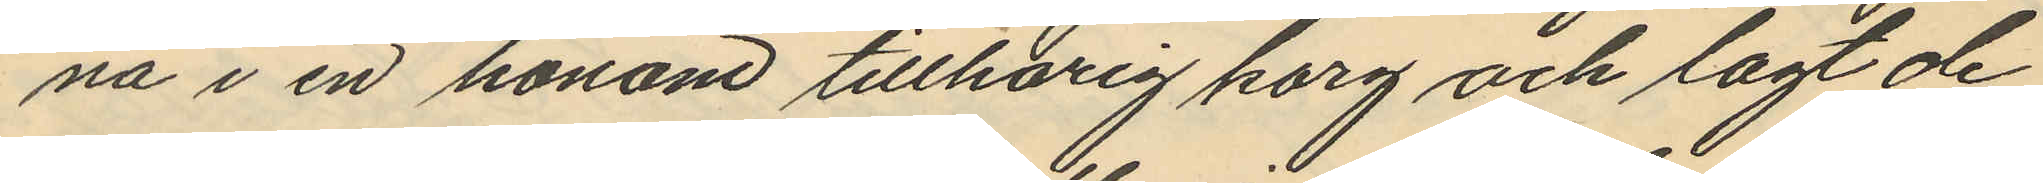na i en honom tillhörig korg och lagt de
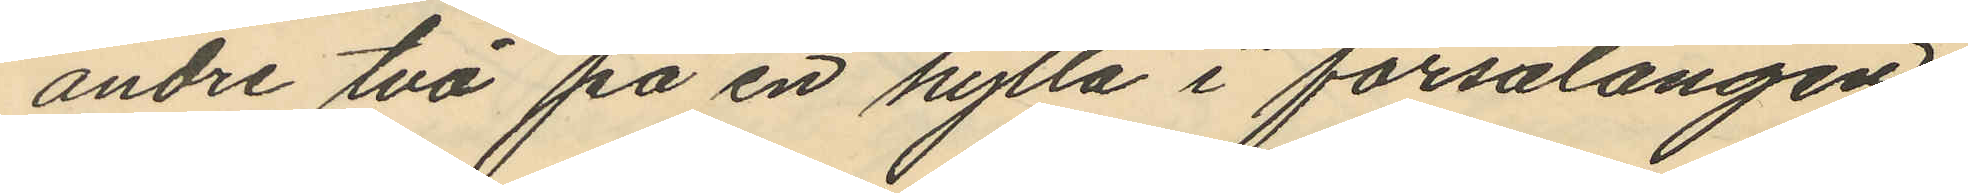andre två på en hylla i försalongen
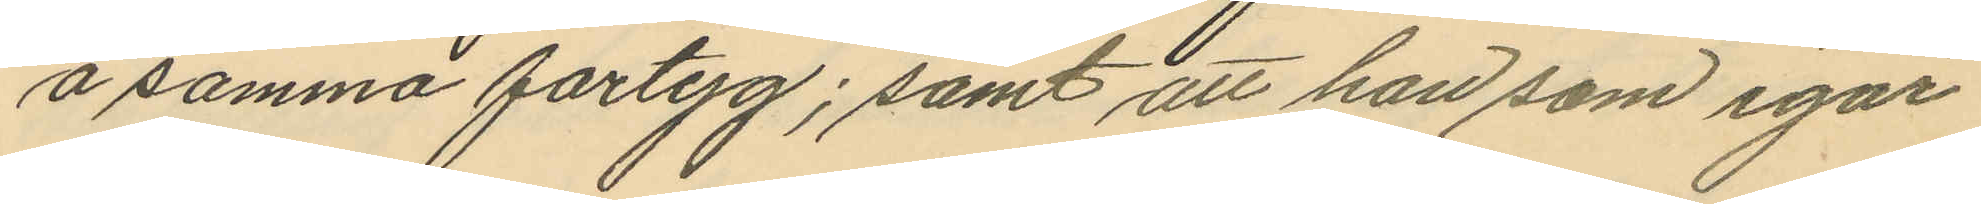å samma fartyg; samt att han som igår
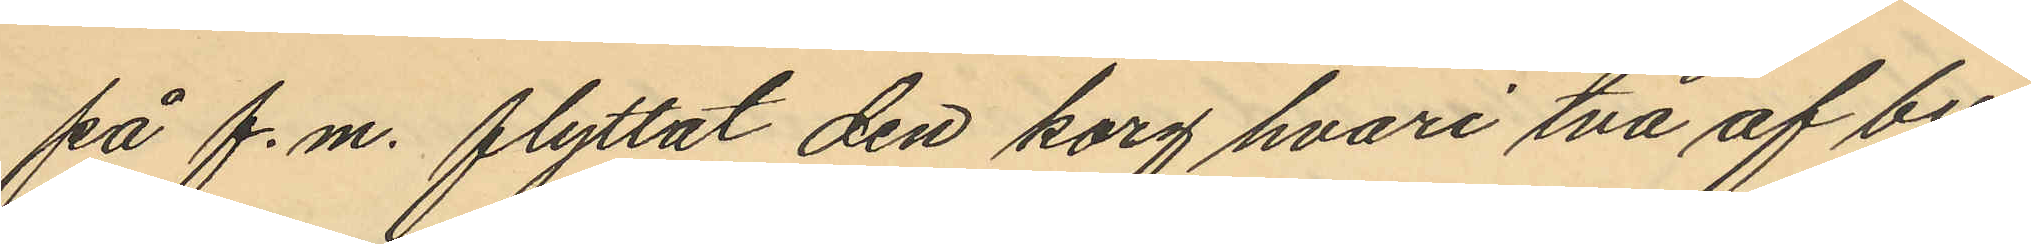på f.m. flyttat den korg hvari två af bu¬
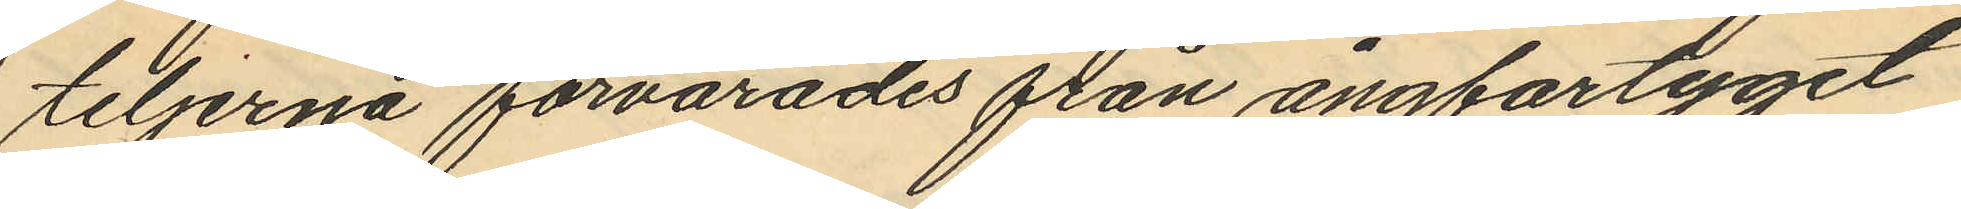teljerna förvarades från ångfartyget
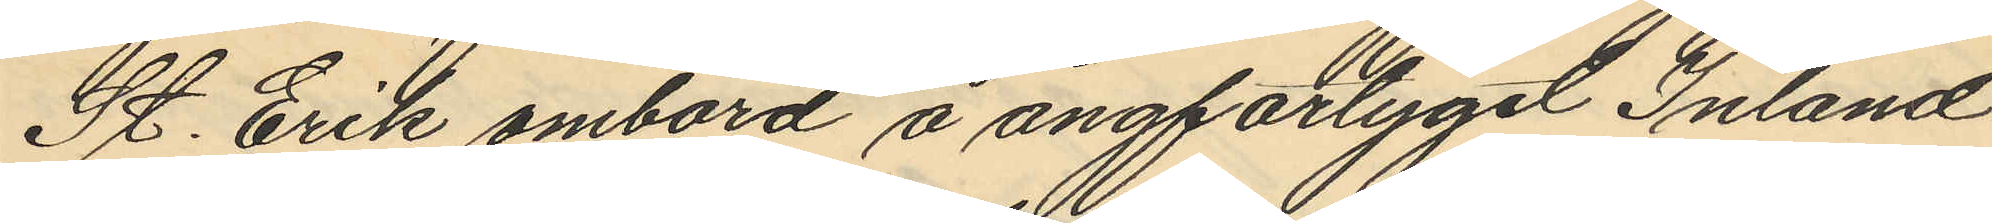St. Erik ombord å ångfartyget Inland
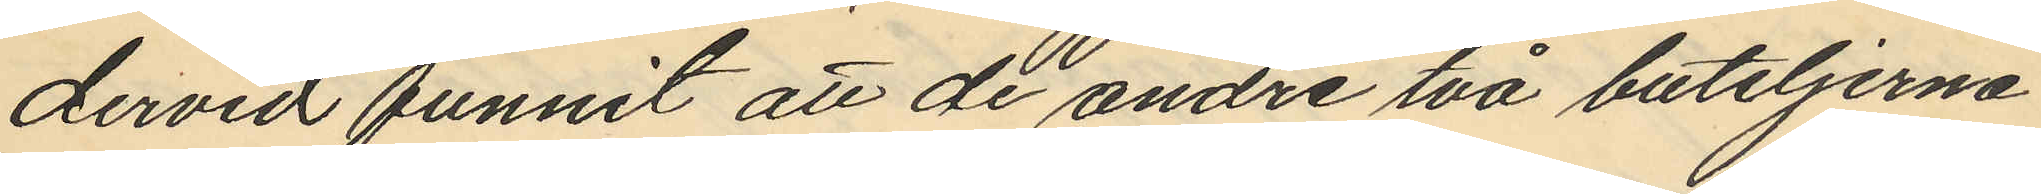dervid funnit att de andre två buteljerna
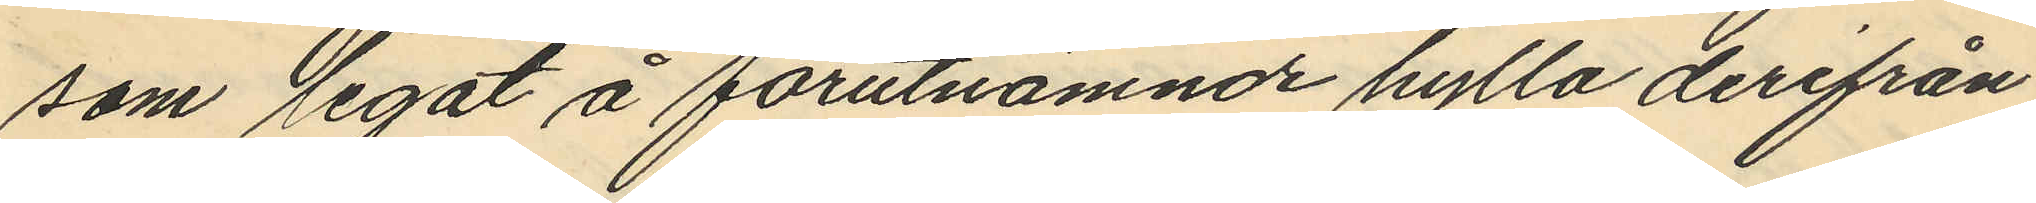som legat å förutnämnde hylla derifrån
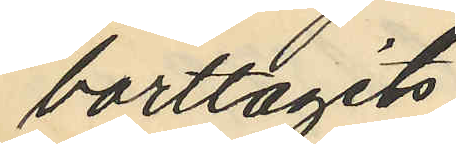borttagits.
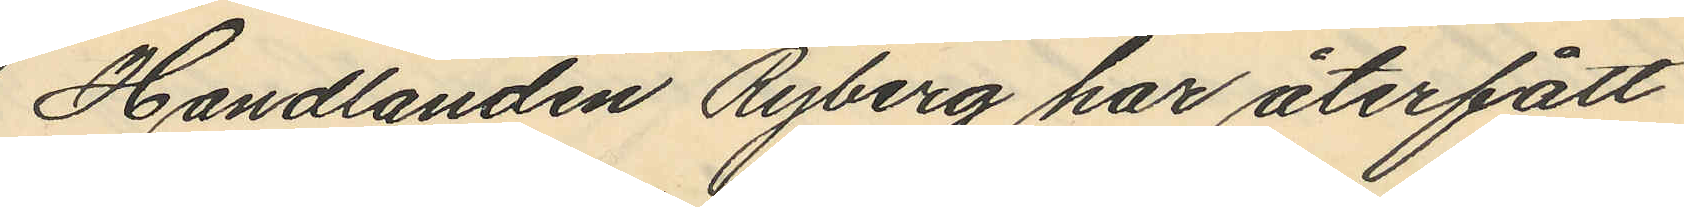Handlanden Ryberg har återfått
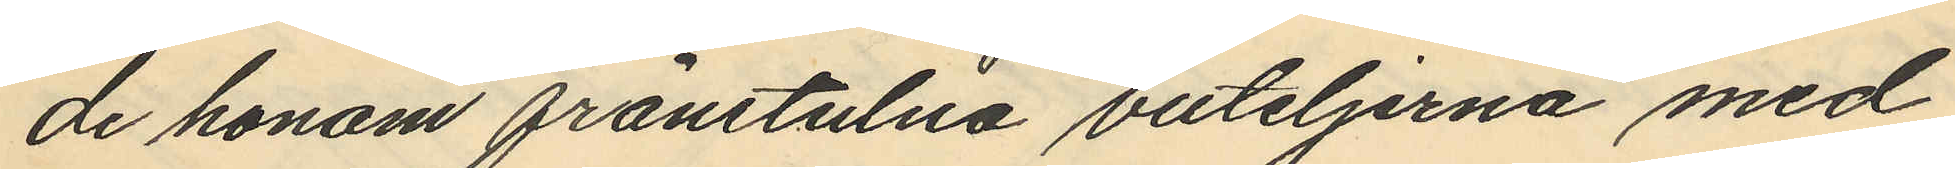de honom frånstulna buteljerna med
